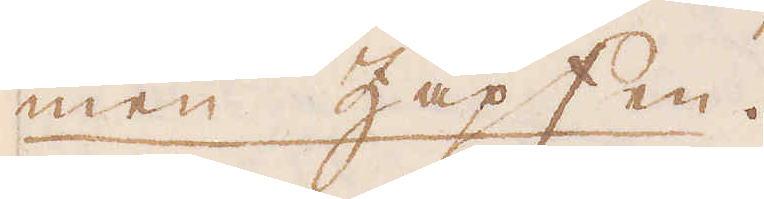men Zapfen.
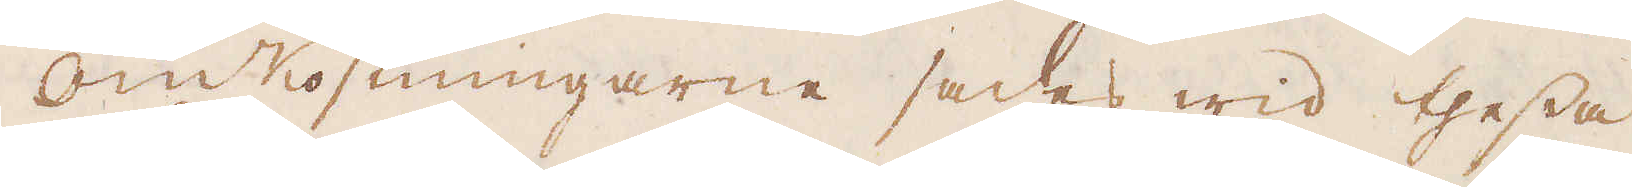Omkostningarne sades wid thessa
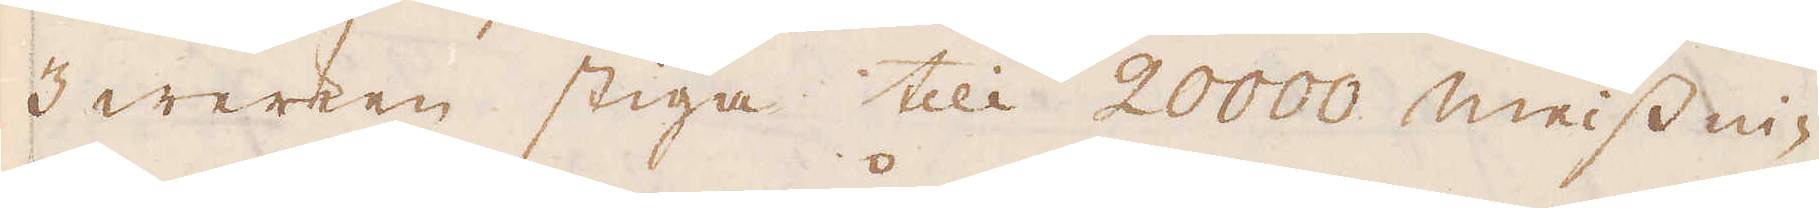3 werken stiga till 20000 meissi-
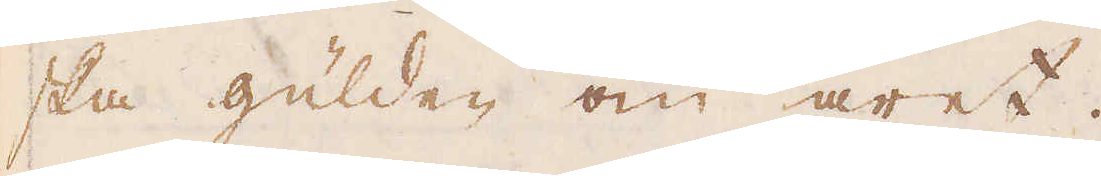ska gülden om året.
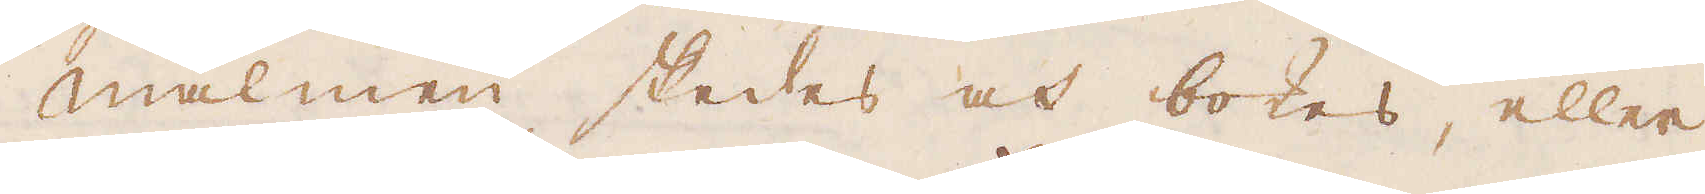Malmen skedes och bokes, eller
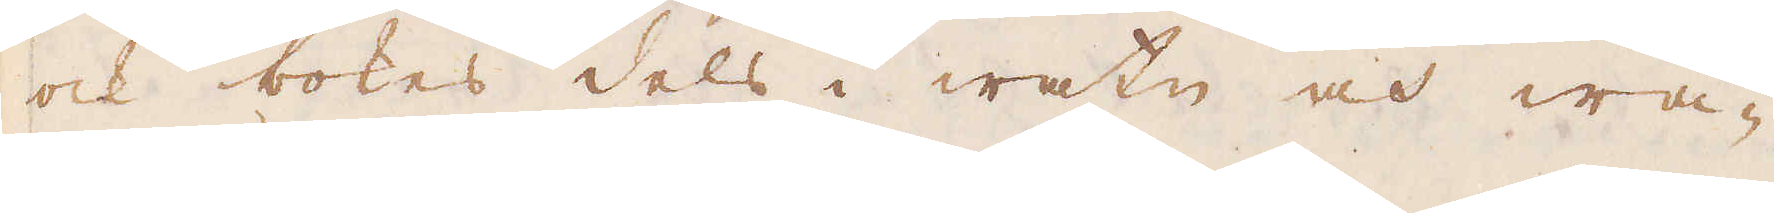och bokes dels i watn och wa-
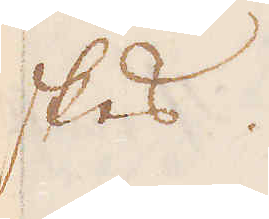skes.
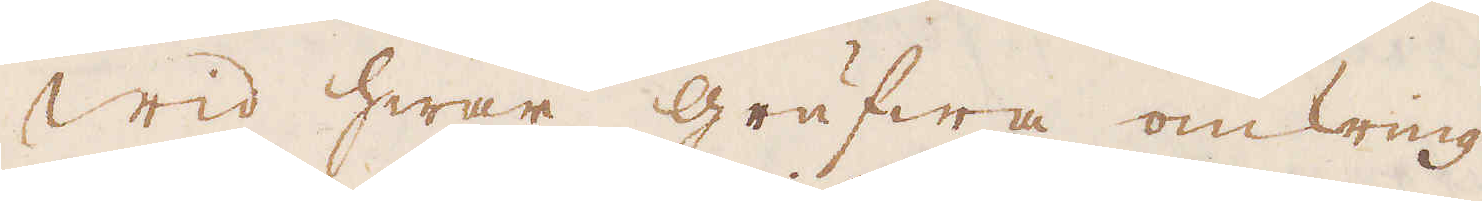Wid hwar grufwa omkring
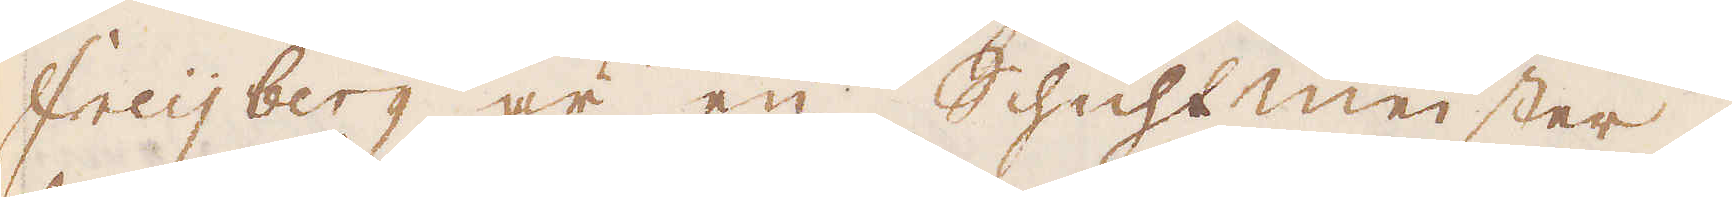Freijberg är en Schichtmeister,
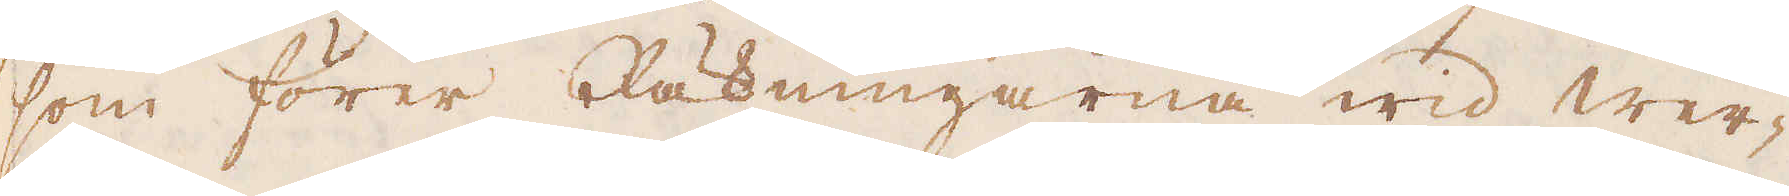som förer Räkningarna wid wer-
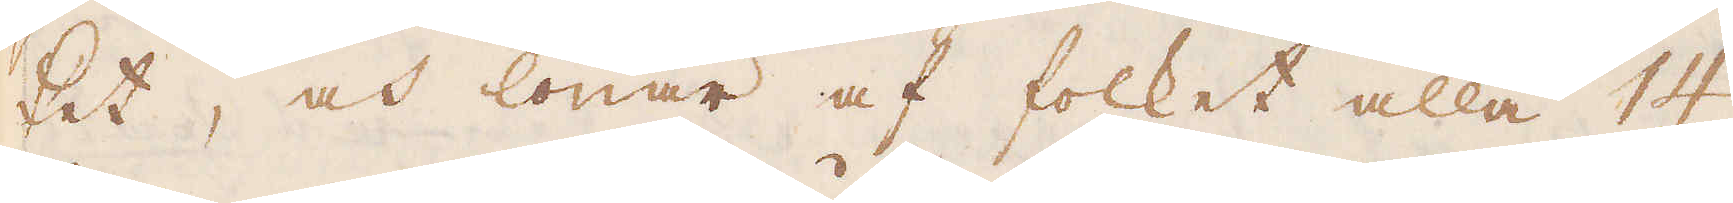ket, och lönar af folket alla 14
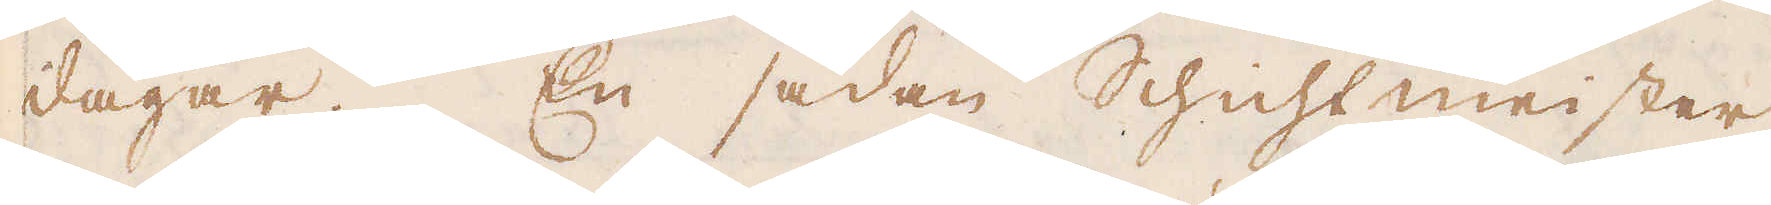dagar. En sådan Schichtmeister
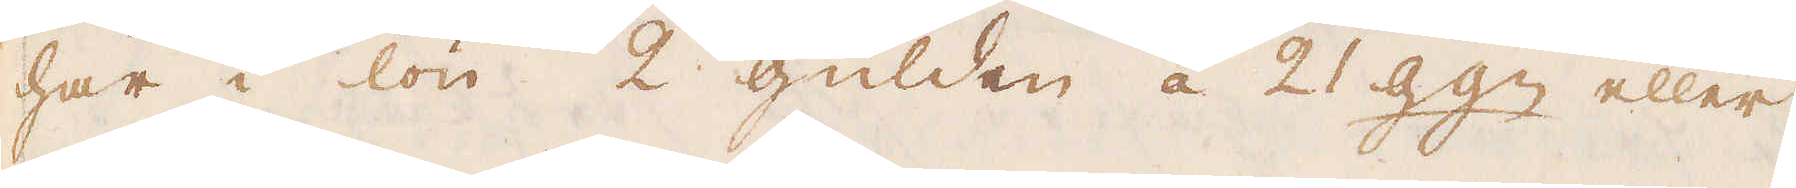har i lön 2 gülden á 21 ggn eller
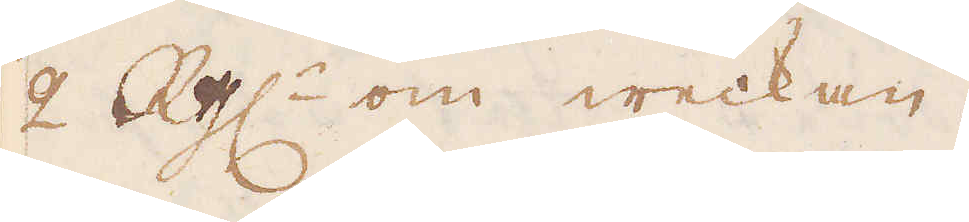2 R:dr om weckan.
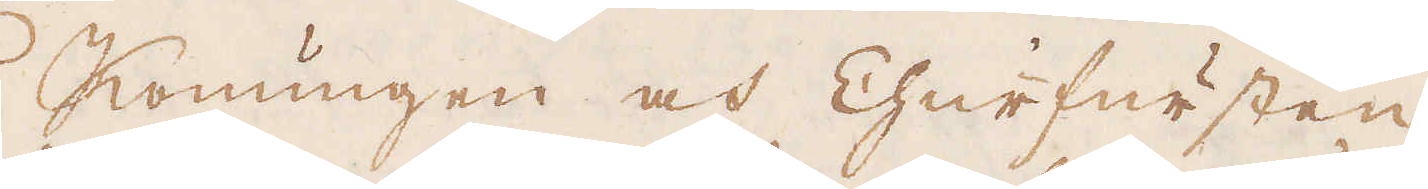Konungen och Churfursten
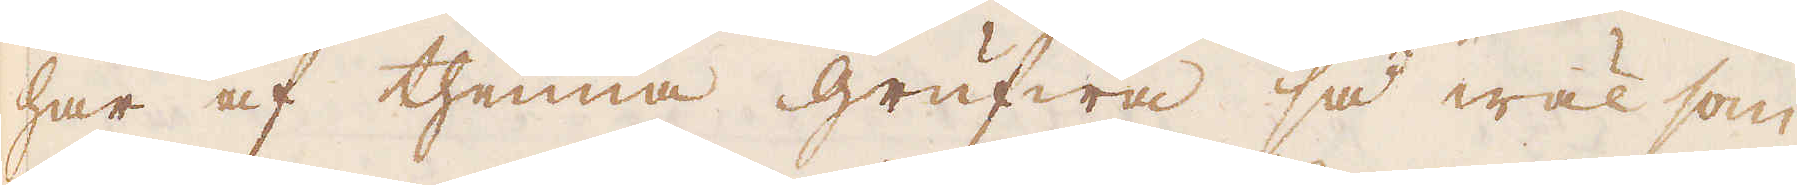har af thenna grufwa så wäl som
